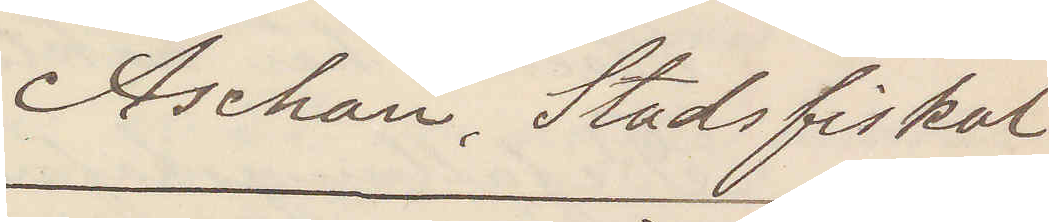Aschan, Stadsfiskal
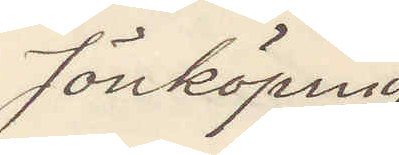Jönköping
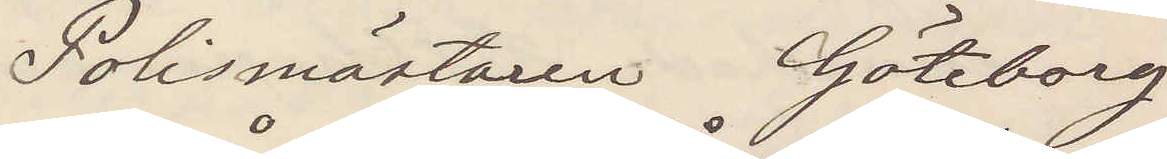Polismästaren Göteborg
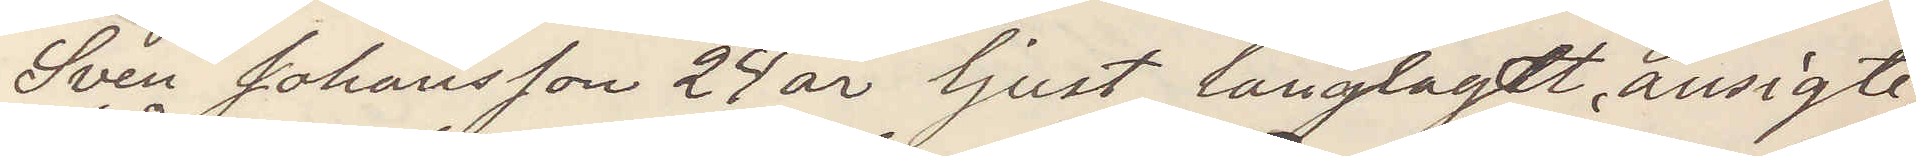Sven Johansson 24 år ljust långlagdt ansigte,
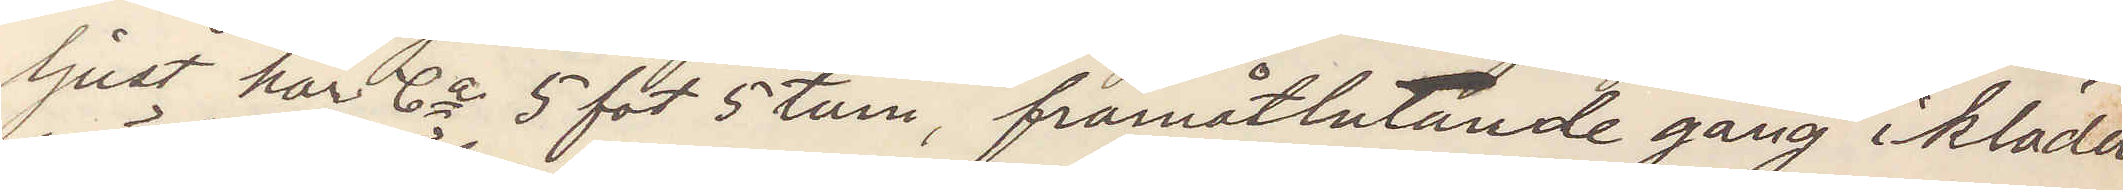ljust hår Ca 5 fot 5 tum, framåtlutande gång iklädd
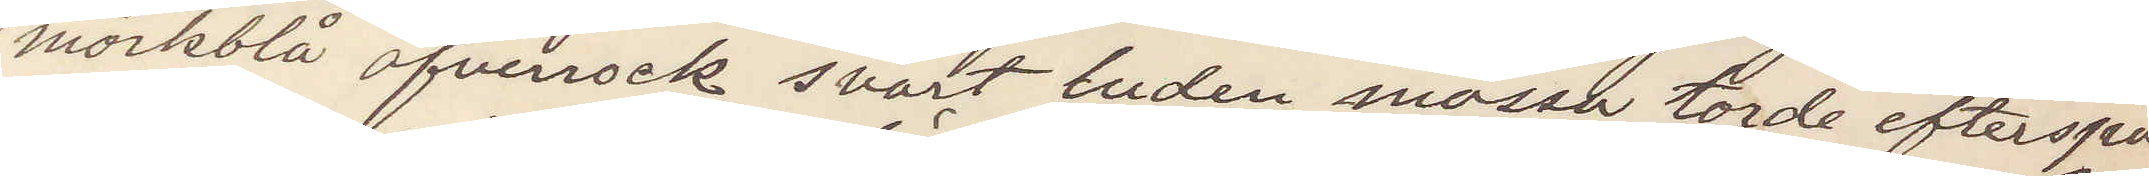mörkblå öfverrock svart luden mössa torde efterspa¬
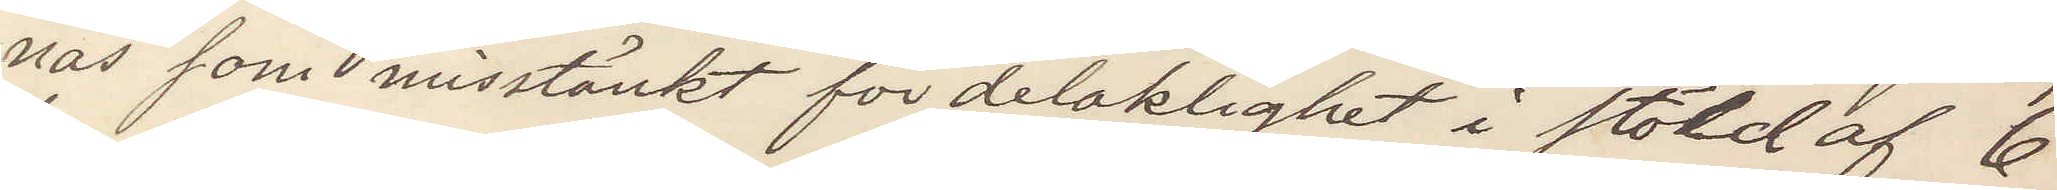nas som misstänkt för delaktighet i stöld af 6
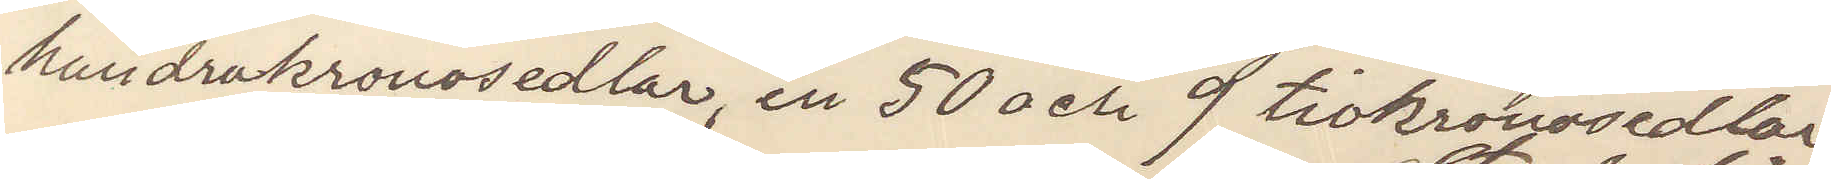hundrakronosedlar, en 50 och 9 tiokronosedlar
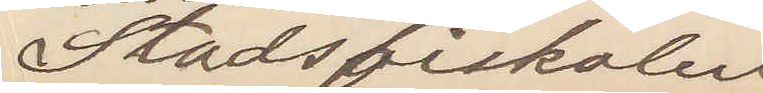Stadsfiskalen
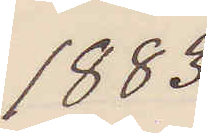1883.
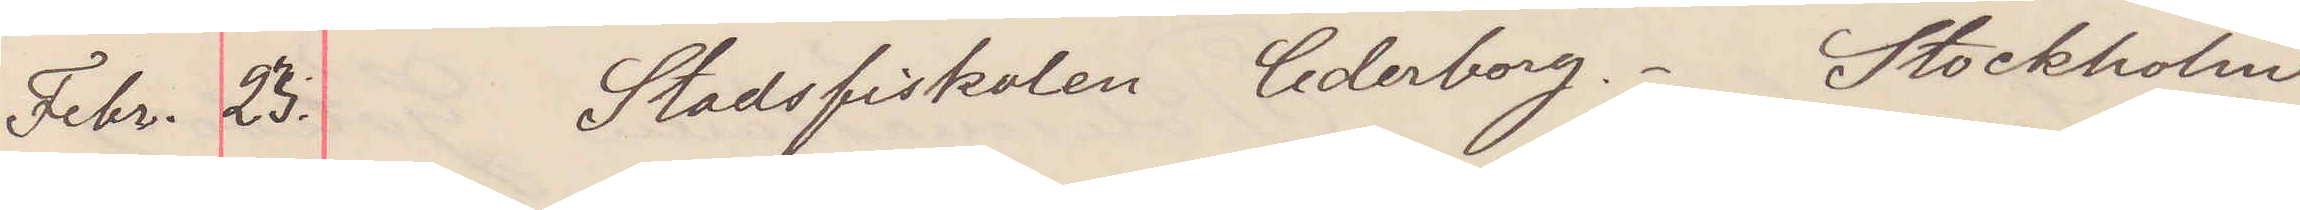Febr. 23. Stadsfiskalen Cederborg. Stockholm
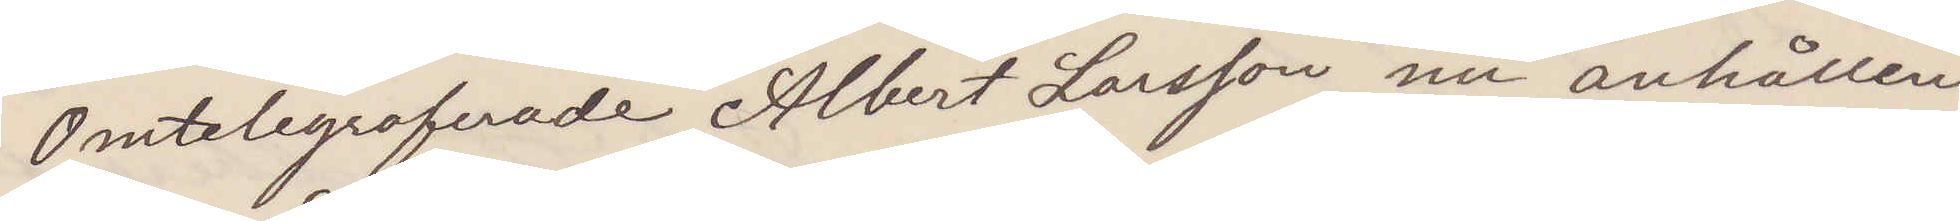Omtelegraferade Albert Larsson nu anhållen.
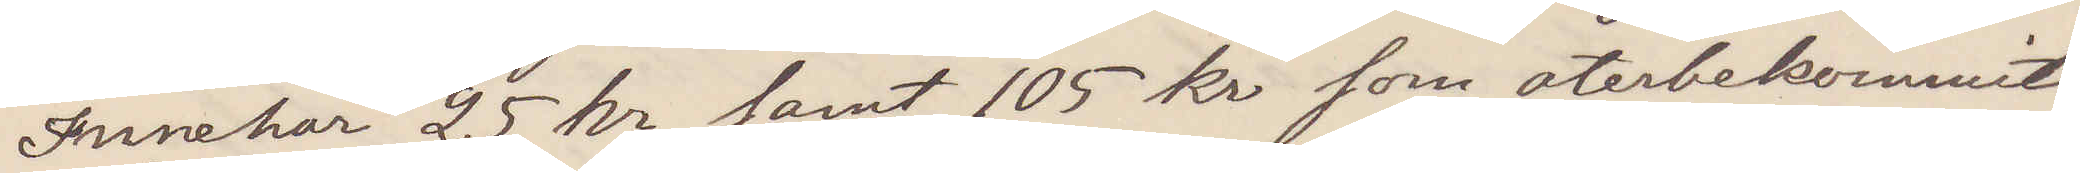Innehar 25 kr samt 105 kr som återbekommit
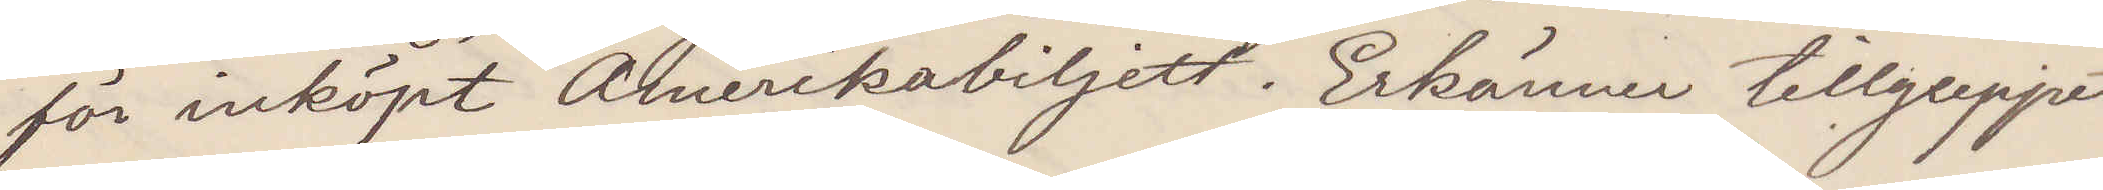för inköpt Amerikabiljett. Erkänner tillgreppet
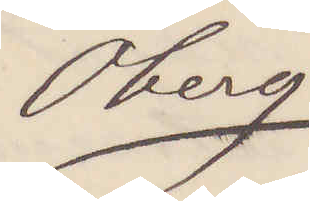Öberg
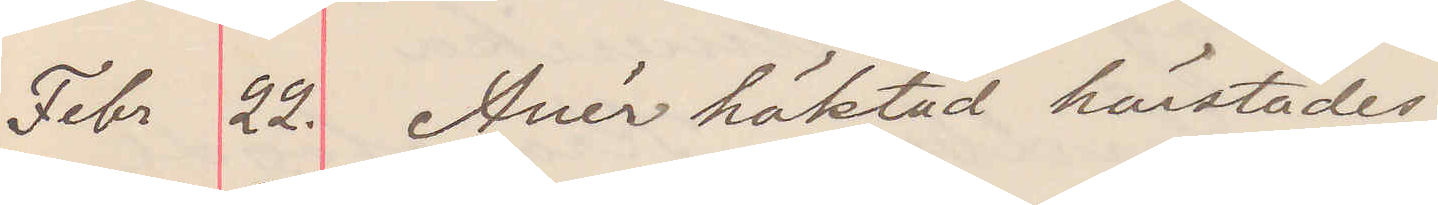Febr 22. Anér häktad härstädes
